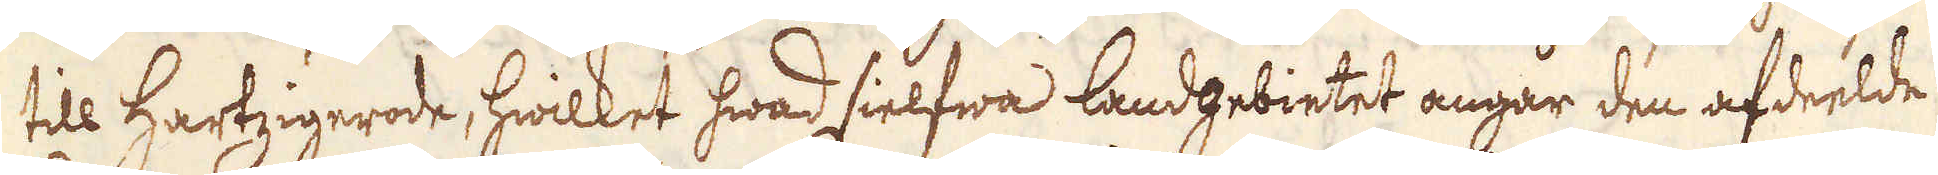till Hartzigerode, hwilket hwad sielfwa landgebietet angår den afdelde
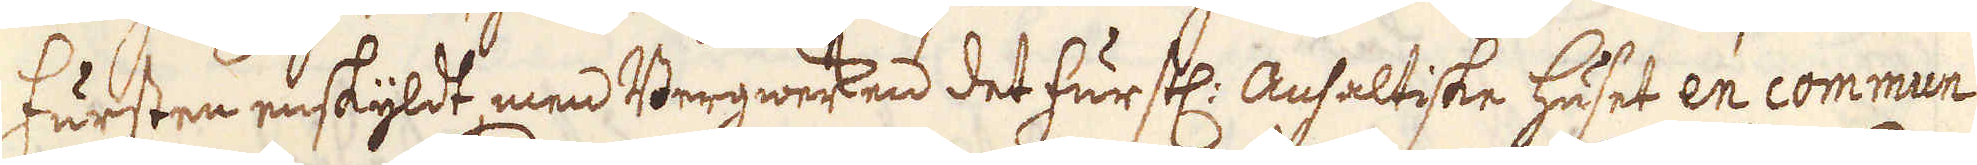Fursten enskyldt, men Bergwerken det furstl: Ausaltiske huset en commun
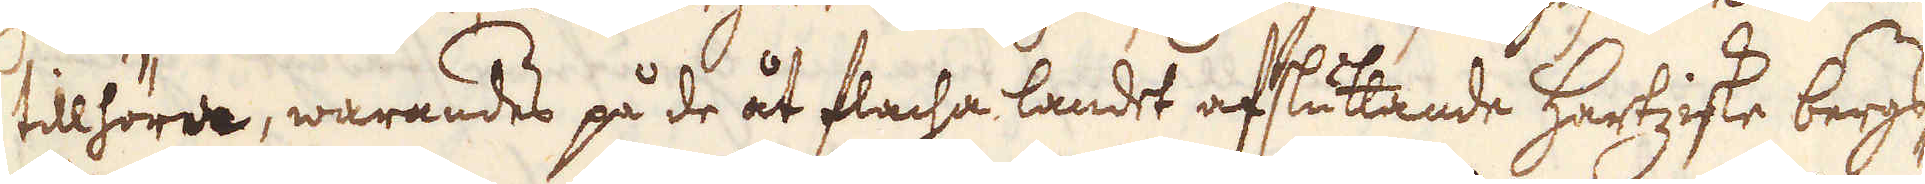tillhöra, warandes på de åt flacha landet afsluttande Hartziske bergs-
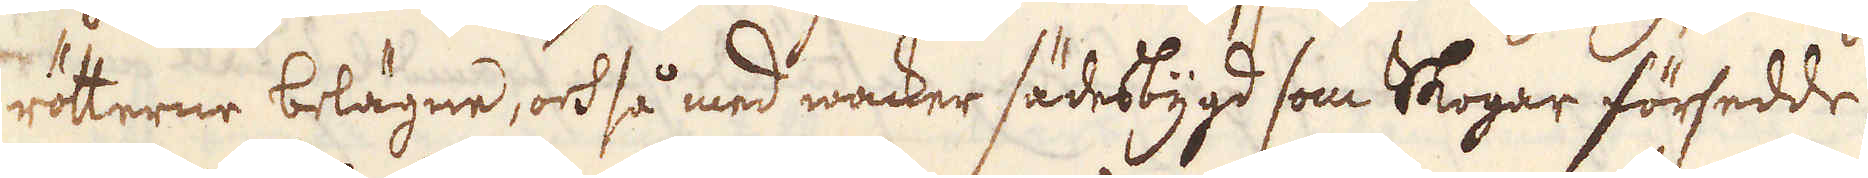rötterne belägne, ock så med wacker sädesbygd som Skogar försedde,
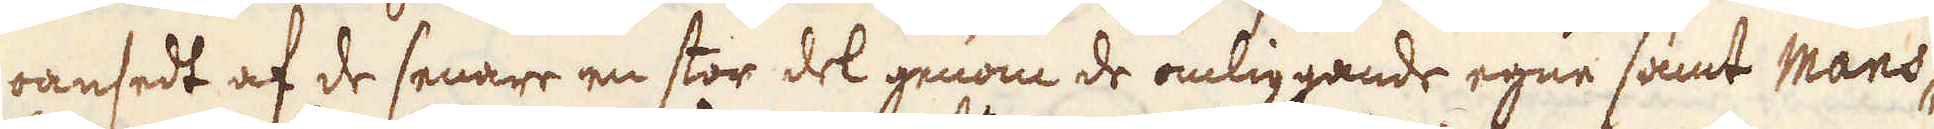oansedt af de senare en stor del genom de omliggande egne samt Mans-
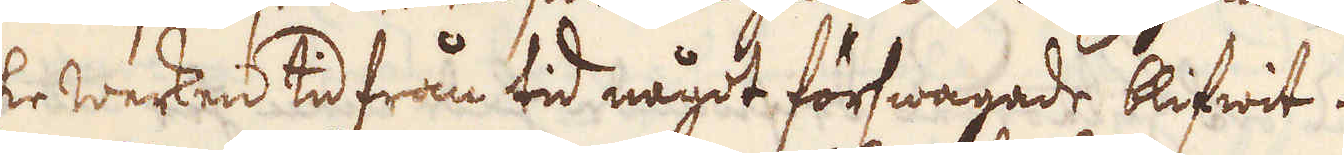feldske werken tid från tid något förswagade blifwit.
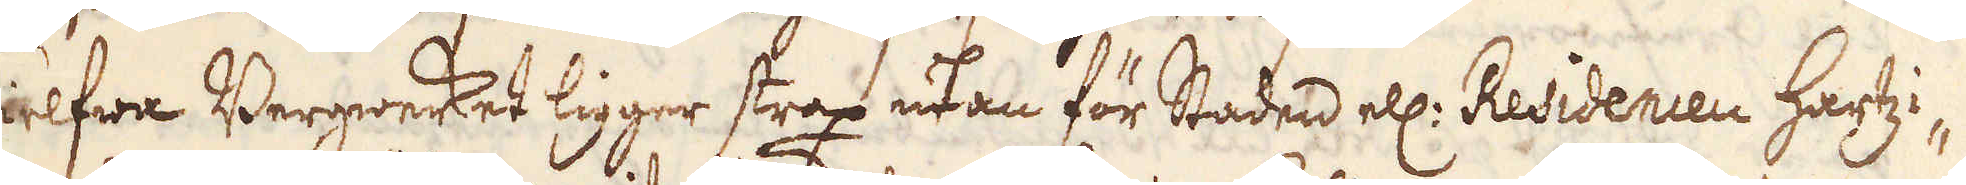Sielfwa Bergwerket ligger strax utan för Staden ell: Residencen Hartzi-
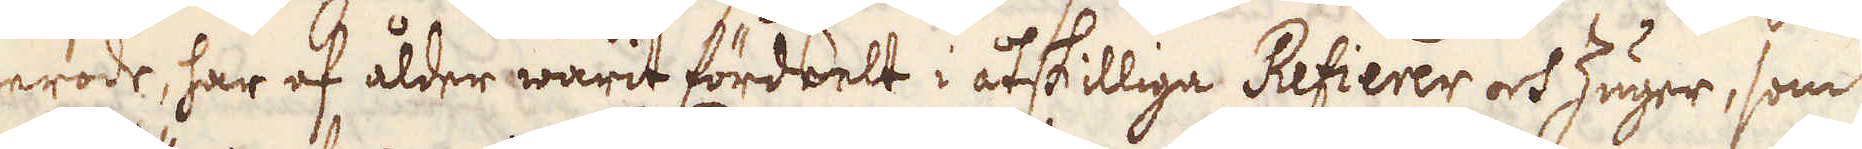gerode, har af ålder warit fördelt i åtskilliga Refierer och Zuger, som
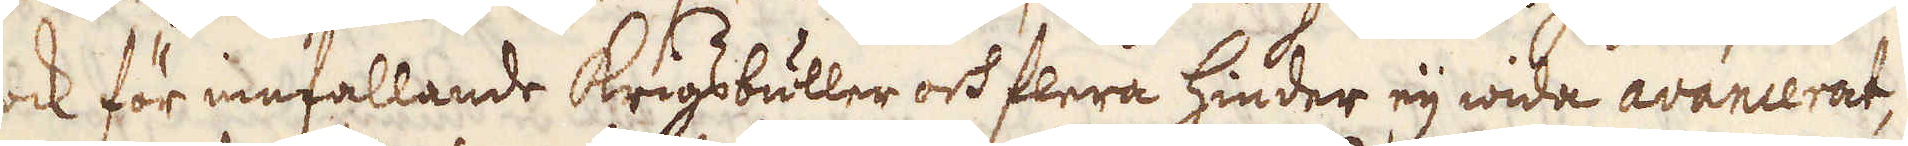dock för infallande Krigsbuller och flera hinder eij wida avancerat,
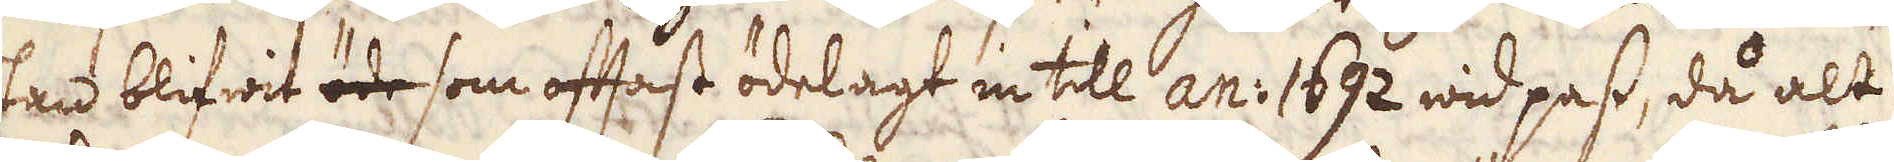utan blifwit öde som oftast ödelagt in till an: 1692 wid pass, då alt
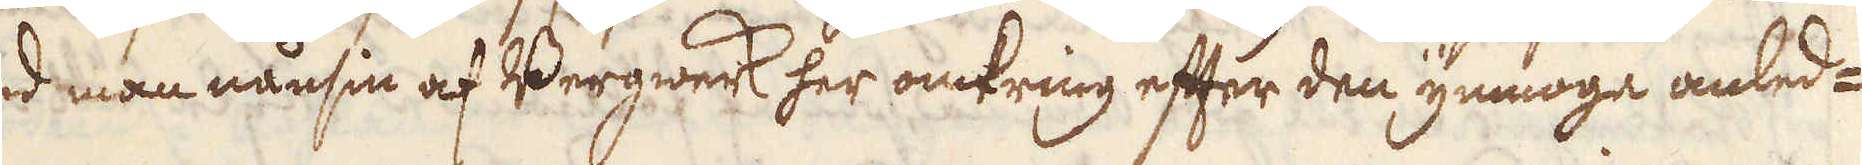hwad man nånsin af Bergwerk her omkring efter den ymnoge anled-
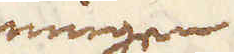ningen
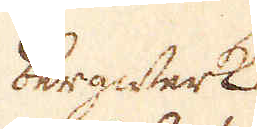bergwerk
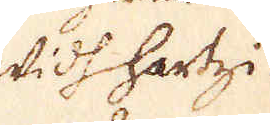widh Hartzi-
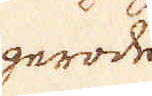gerode
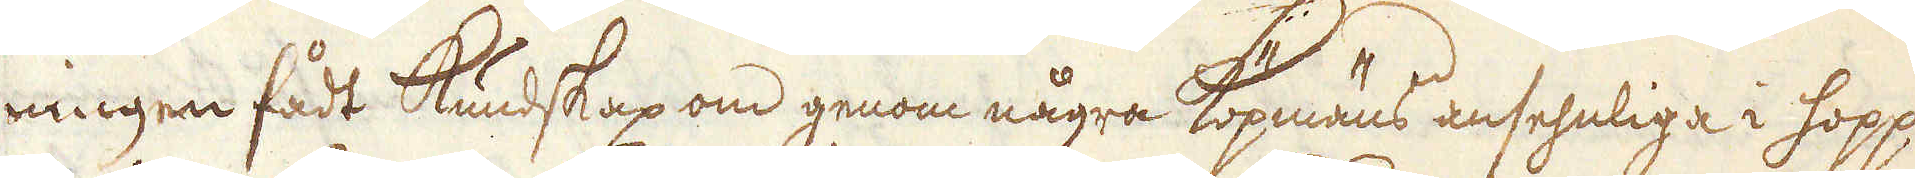ningen fådt Kundskap om genom några Köpmäns ansehnliga i hopp
